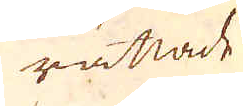rättade
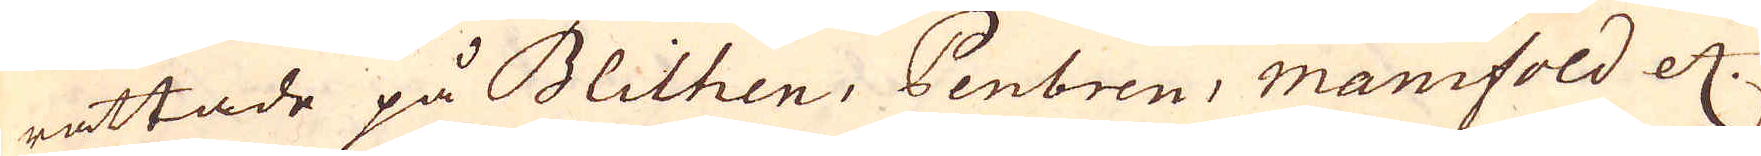rättade på Blithen, Penbren, Manifold etc.
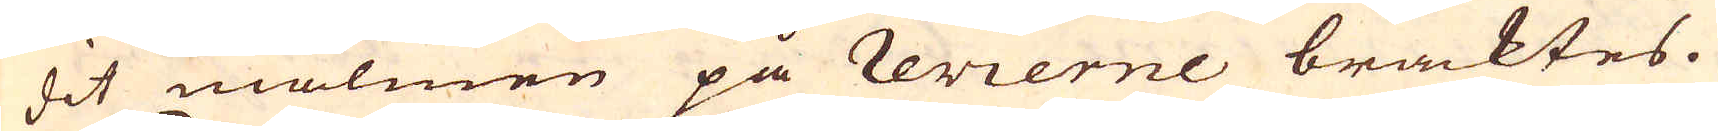dit malmen på revierne bracktes.
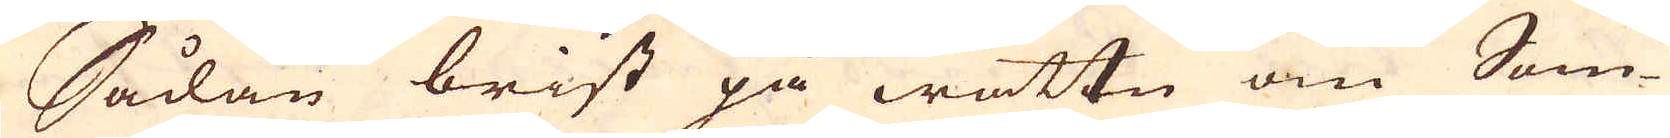Sådan brist på wattn om Som-
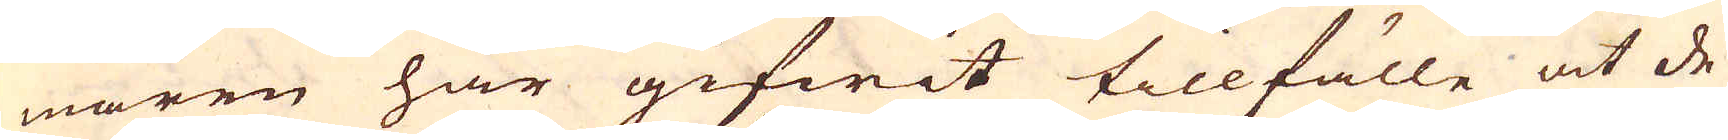maren har gifwit tillfälle at de
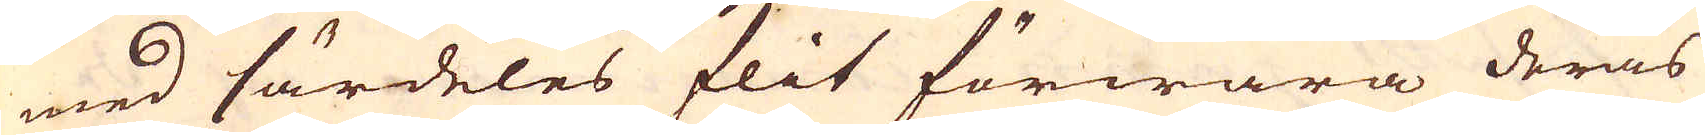med särdeles flit förwara deras
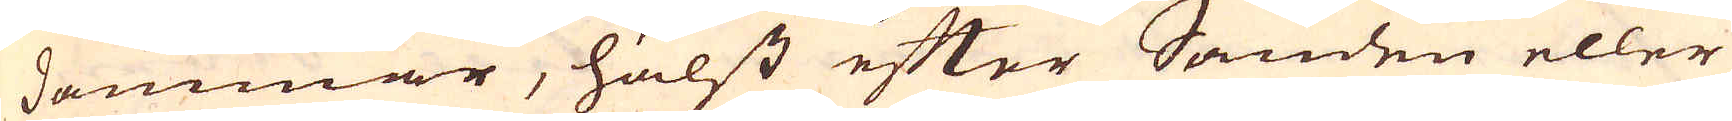dammar, hälst efter Sanden eller
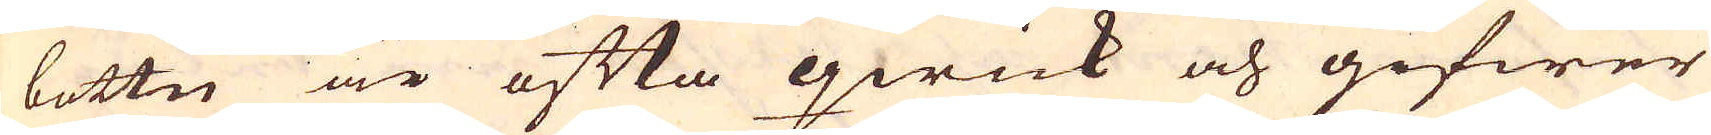bottn är ofta qwick och gifwer
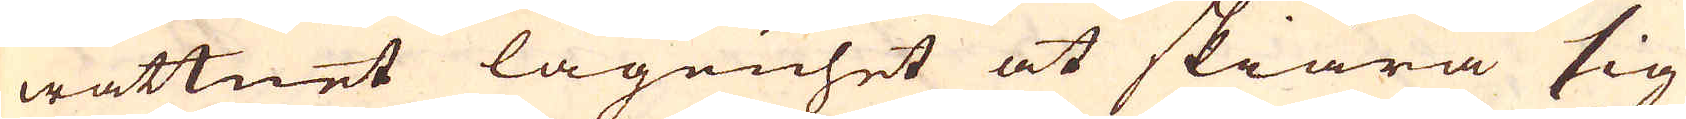wattnet lägenhet at skiära sig
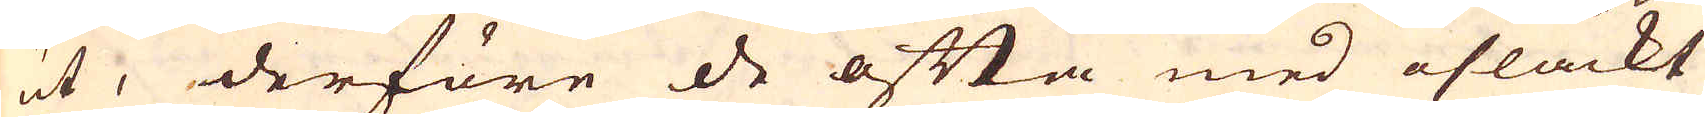ut, derföre de ofta med osläckt
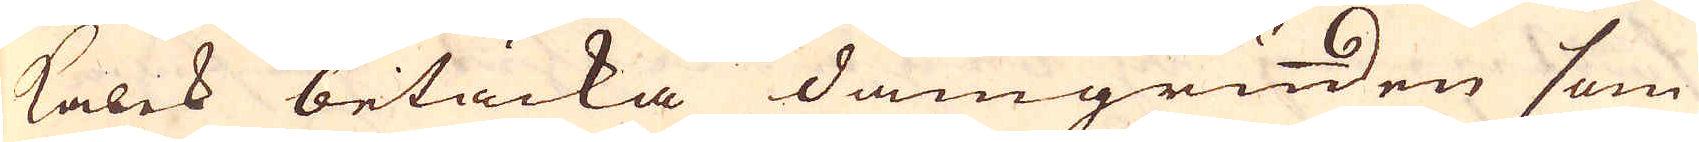kalck betäcka damgrunden som
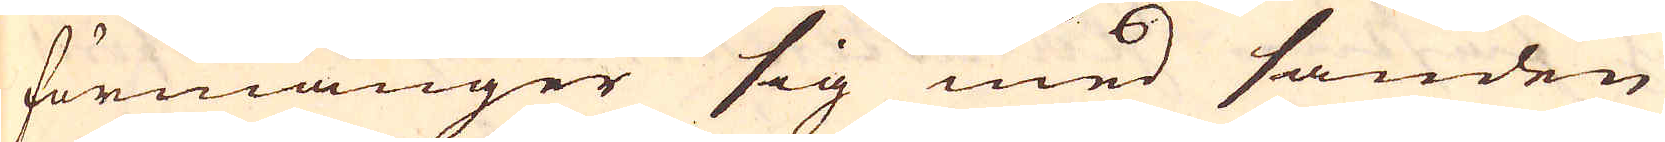förmänger sig med sanden
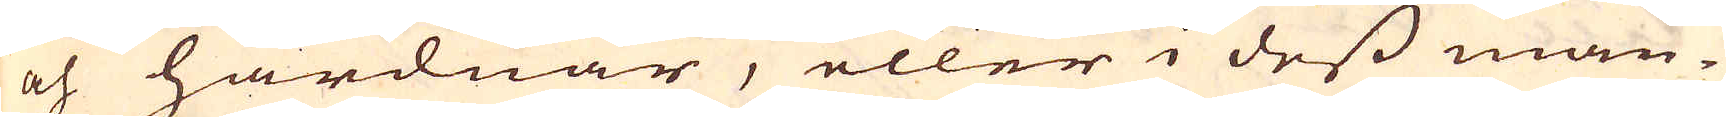och hårdnar, eller i dess man-
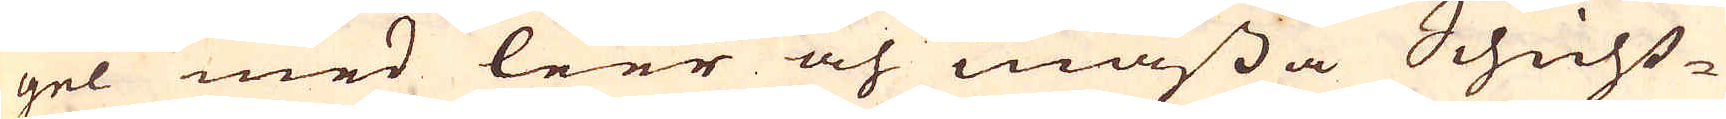gel med leer och måssa Schicht-
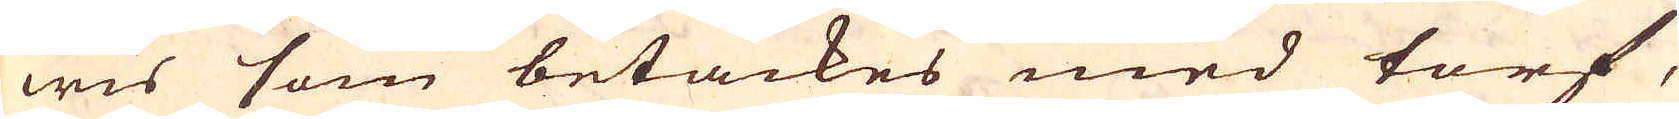wis som betäckes med torf,
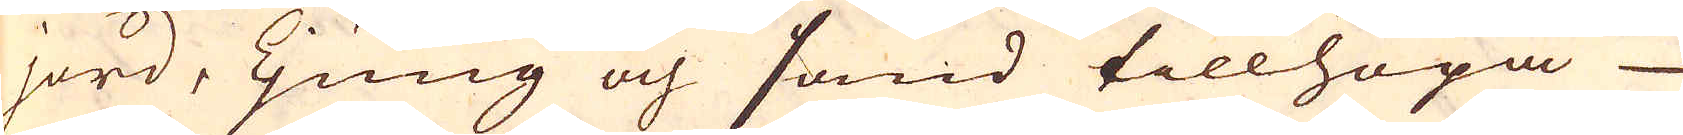jord, Ljung och sand tillhopa
